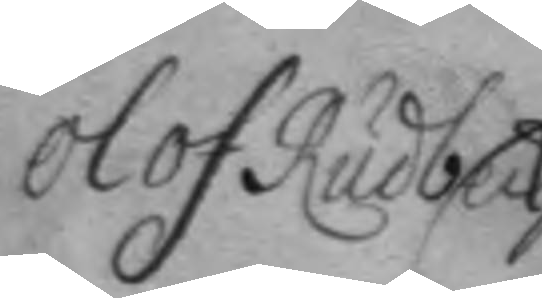Olof Rudbeck
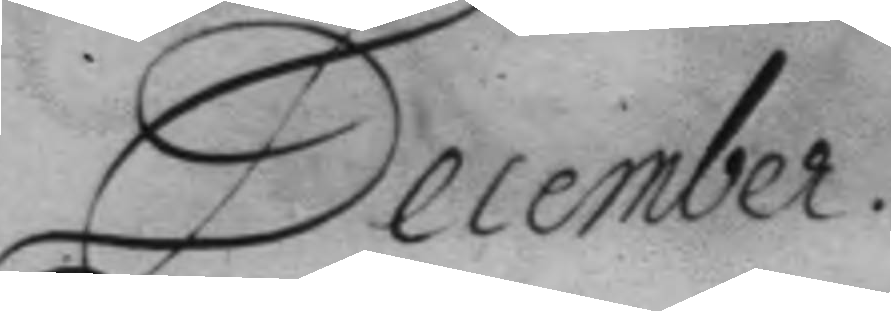December.
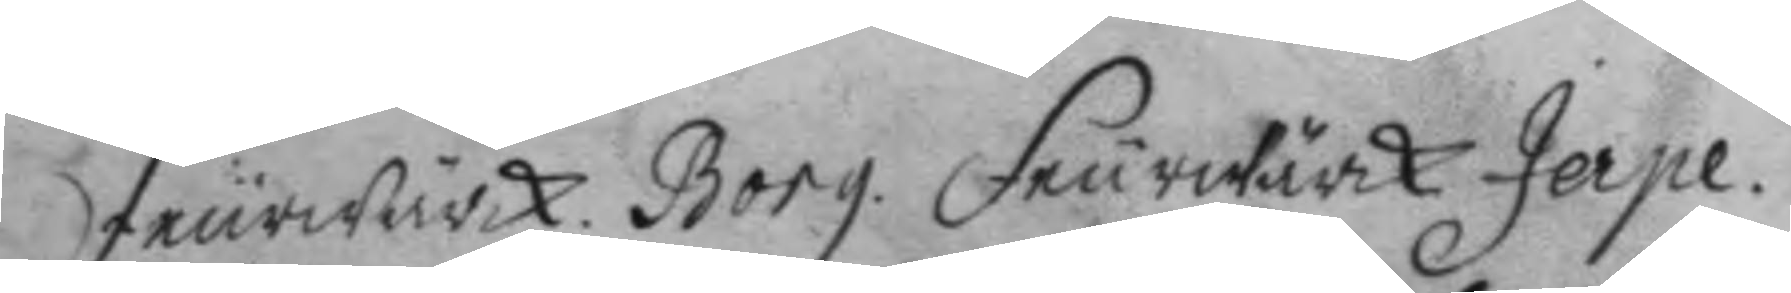feurwärck. Borg. feurwärck Jerpe.
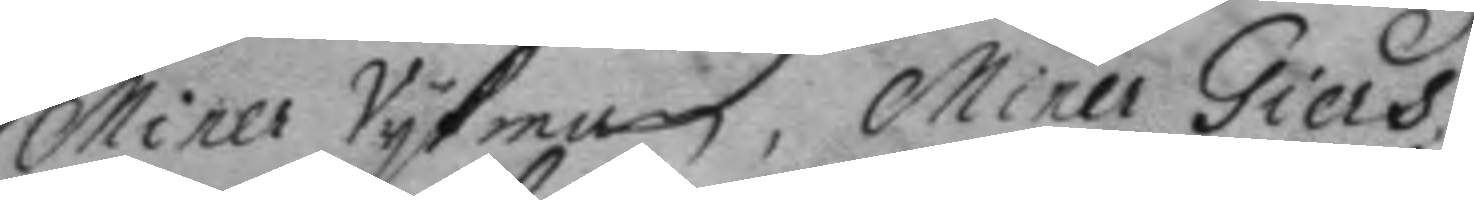Miner Västman, Miner Giers.
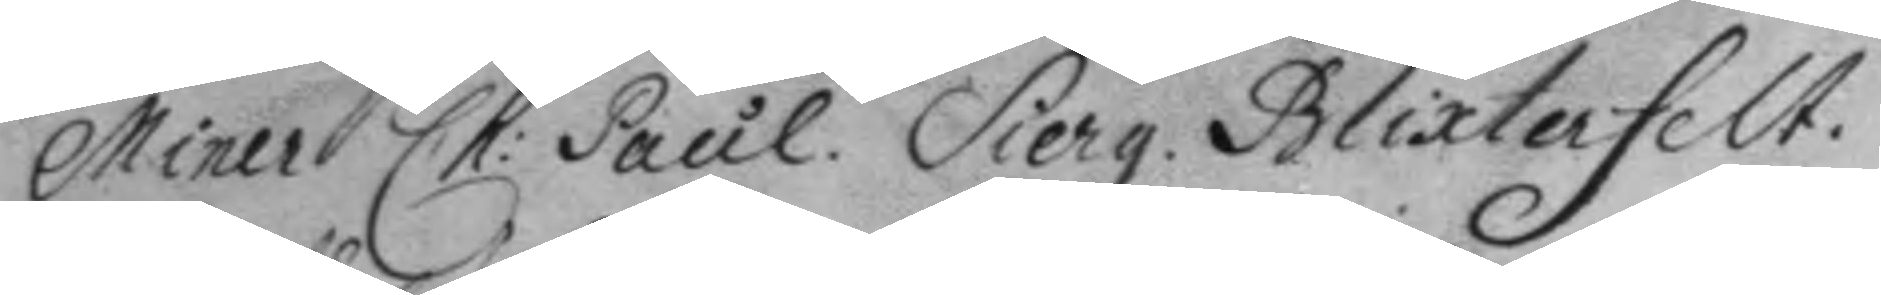Miner Ch: Paul. Sierg. Blixtenfelt.
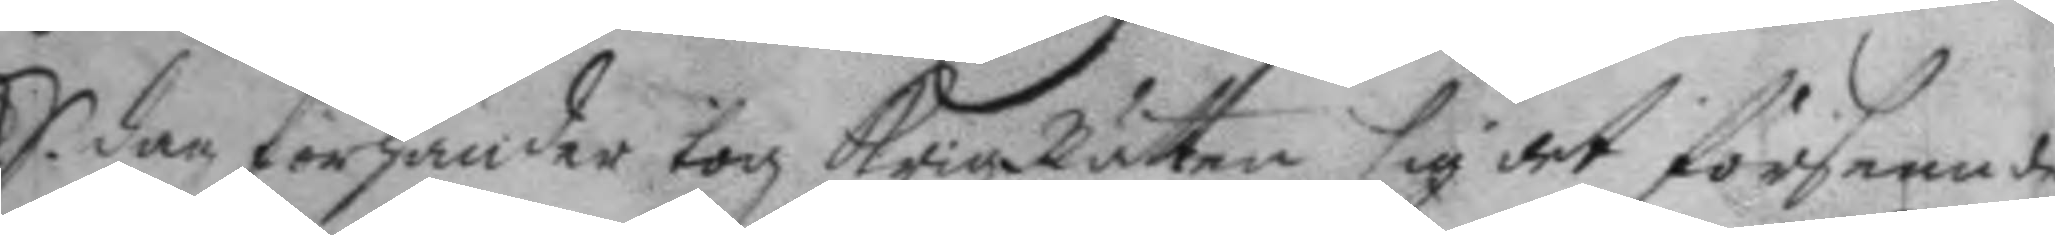S. dag förhänder tog KrigzRätten sig det förseende
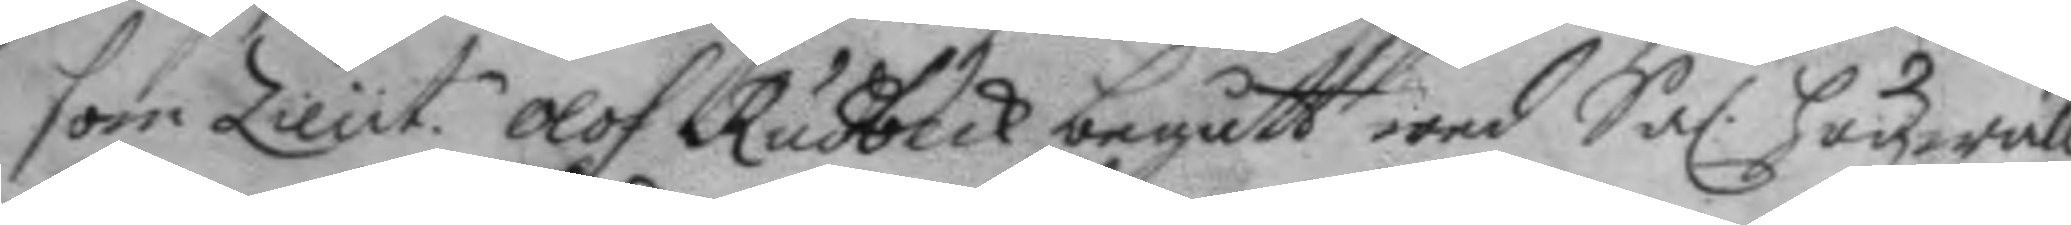som Lieut.n Olof Rudbeck begått wed Sal. högwälb.
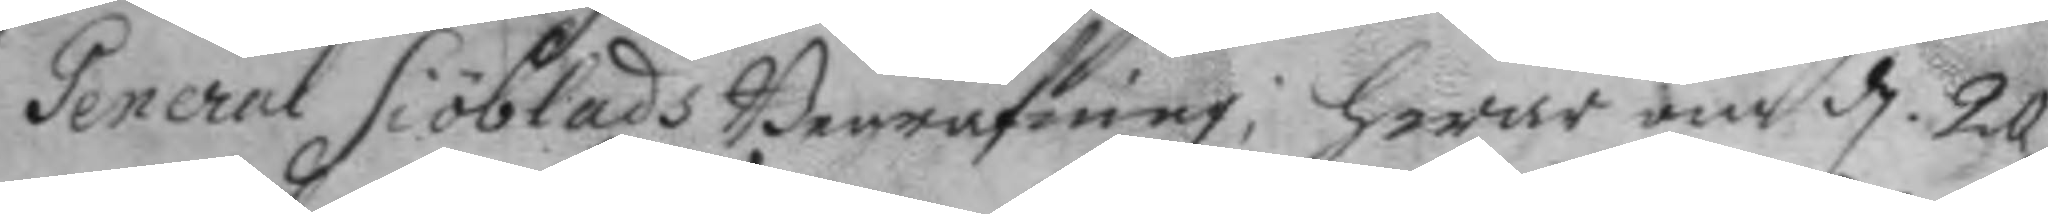General Siöblads Begrafning; hwar om d. 20
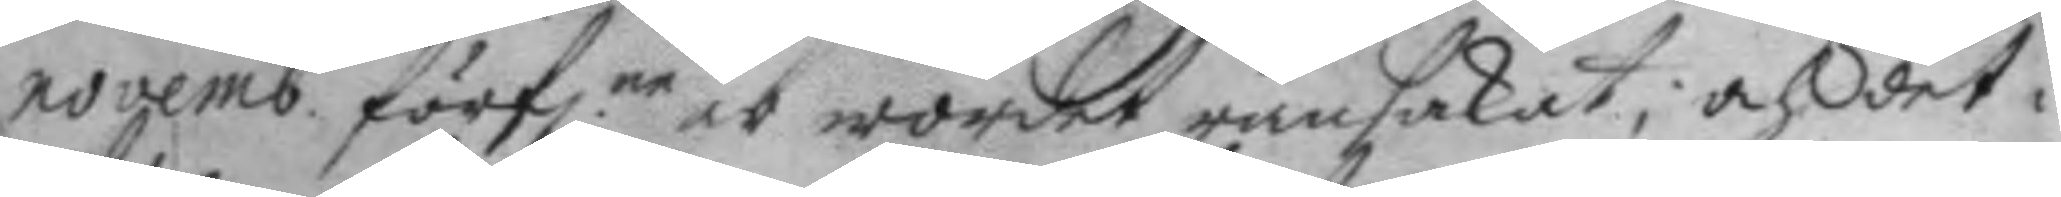novemb. förfl.ne är wordet ransakat, och det i
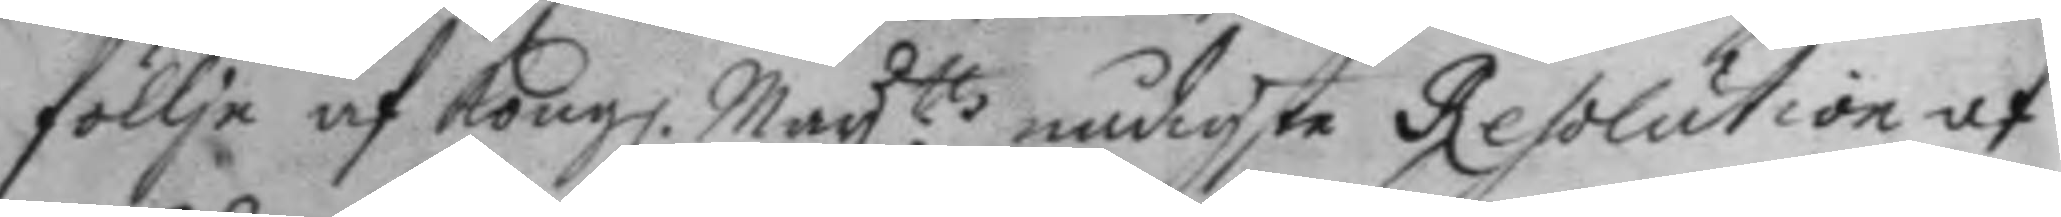föllje af Kong. May.ttz nådigste Resolution af
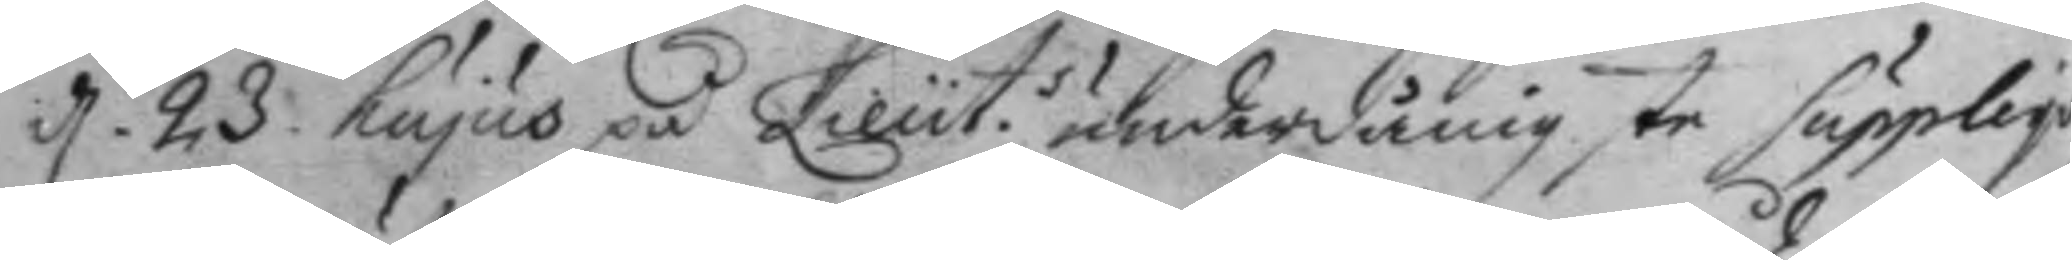d. 23 hujus på Lieut.s underdånigste supplique
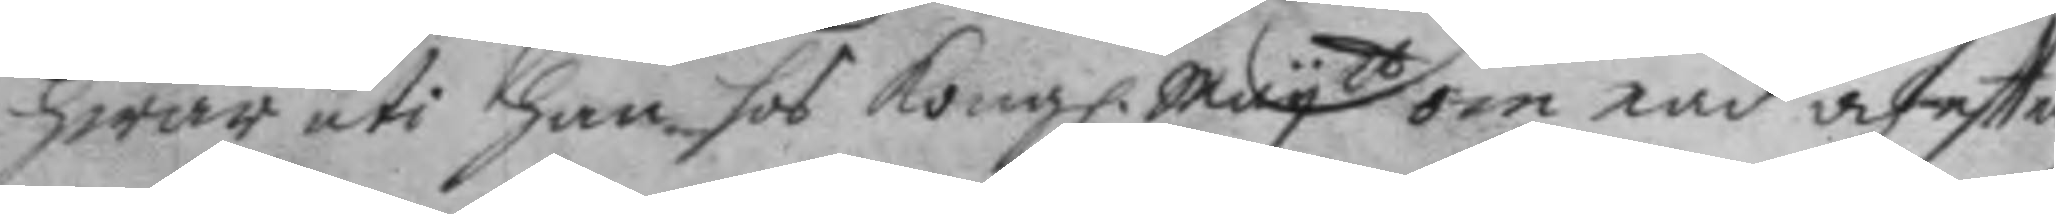hwar uti han hos Kong. May.tt om nåd och eftter¬
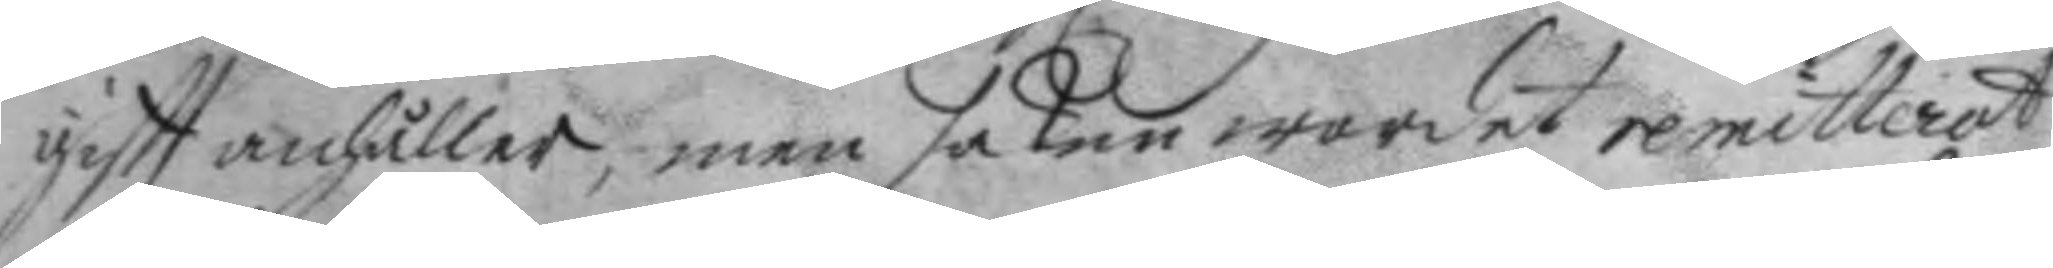giftt anhåller, men saken wordet remitterat
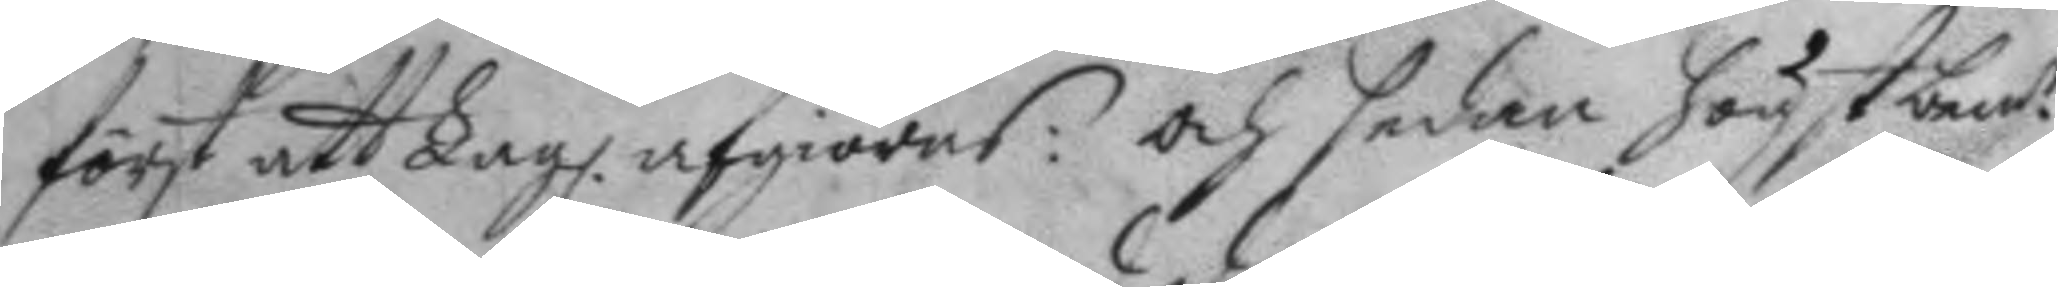först att Lagl. afgiöras: och sedan högst bemt.e
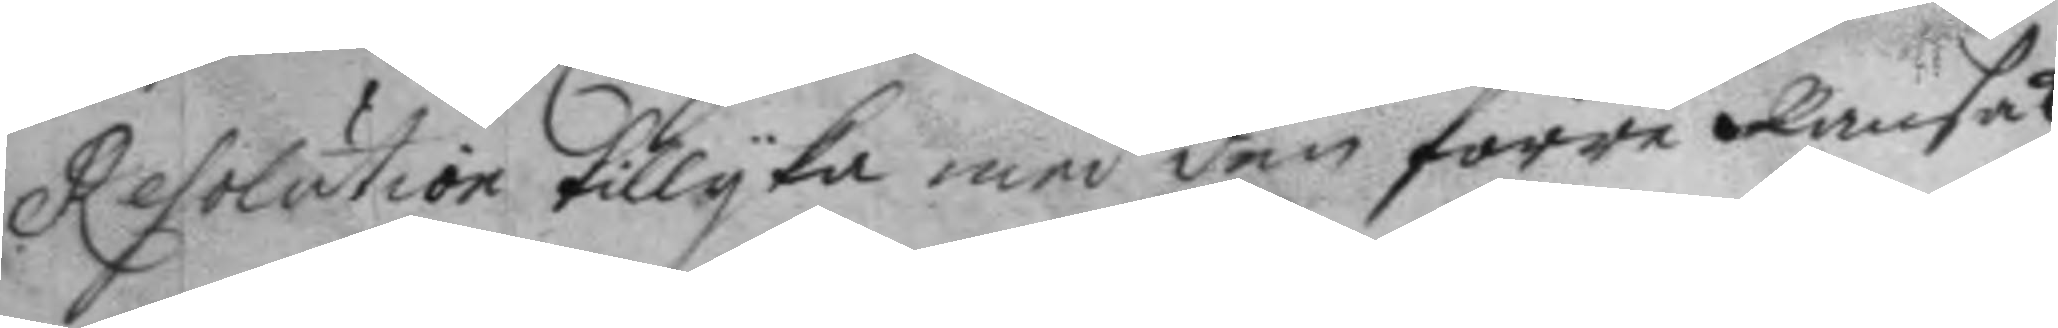Resolution tillyka med den förre Ransak¬
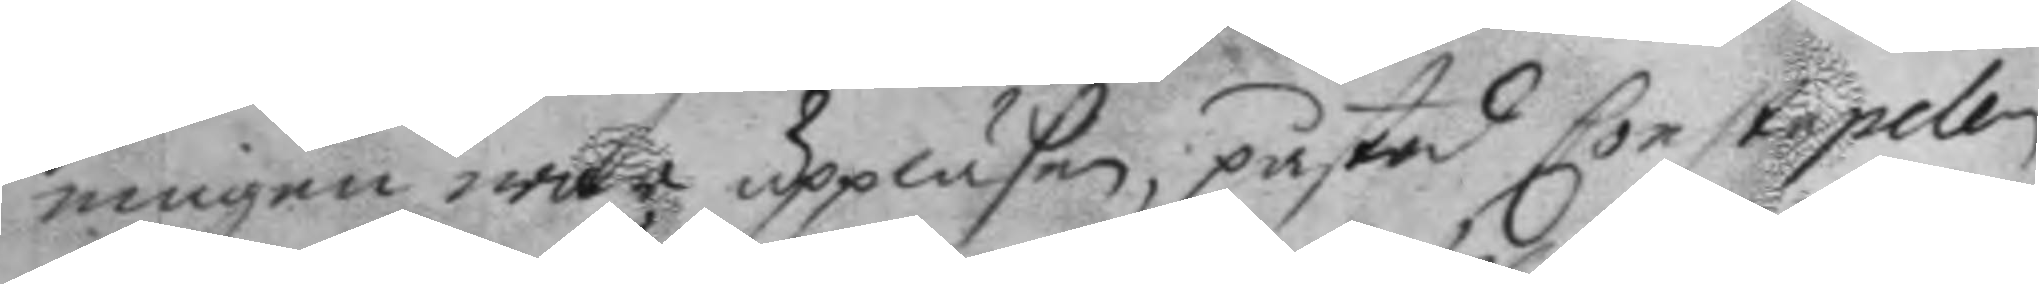ningen wore uppläsen; påstod Constapelen
